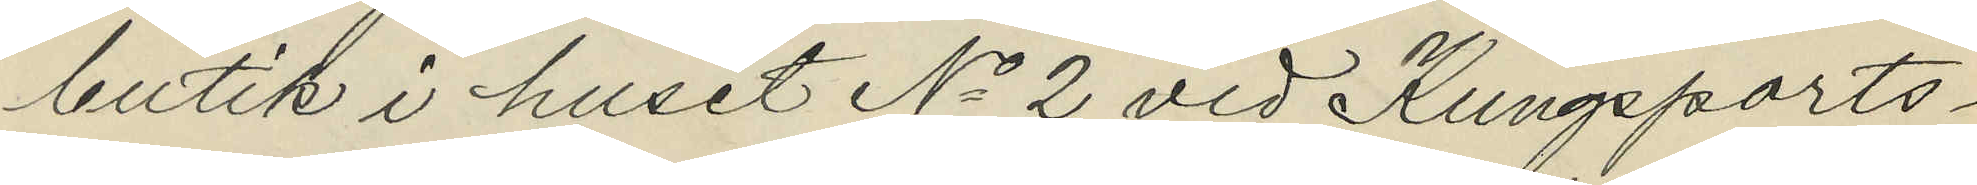butik i huset No 2 vid Kungsports¬
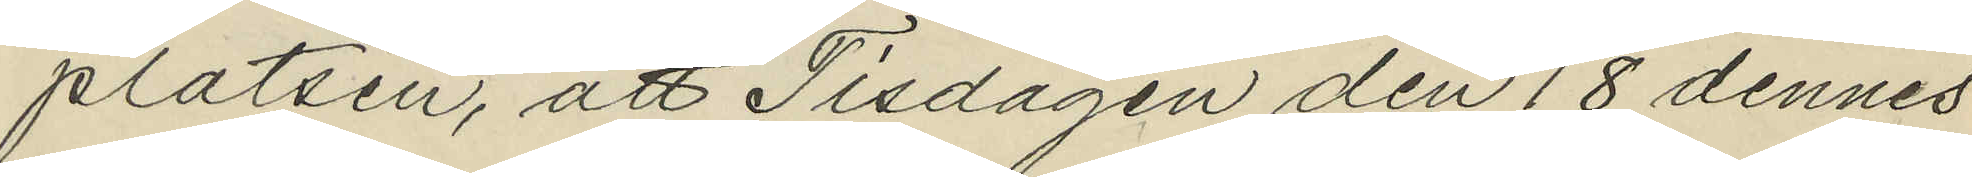platsen, att Tisdagen den 18 dennes
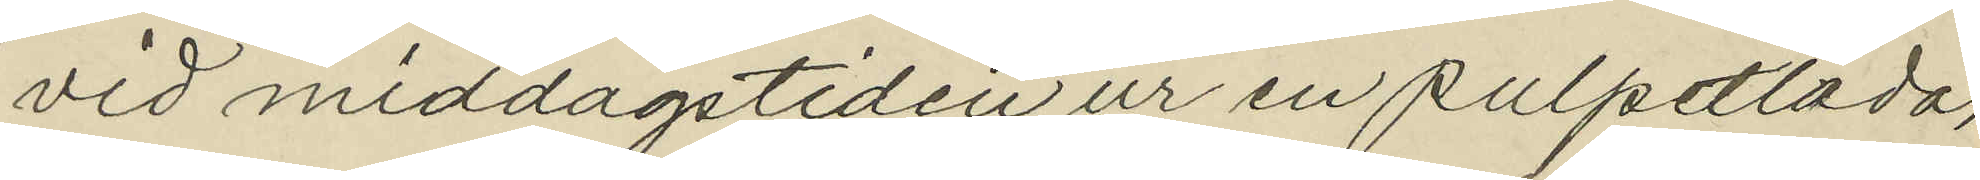vid middagstiden ur en pulpetlåda,
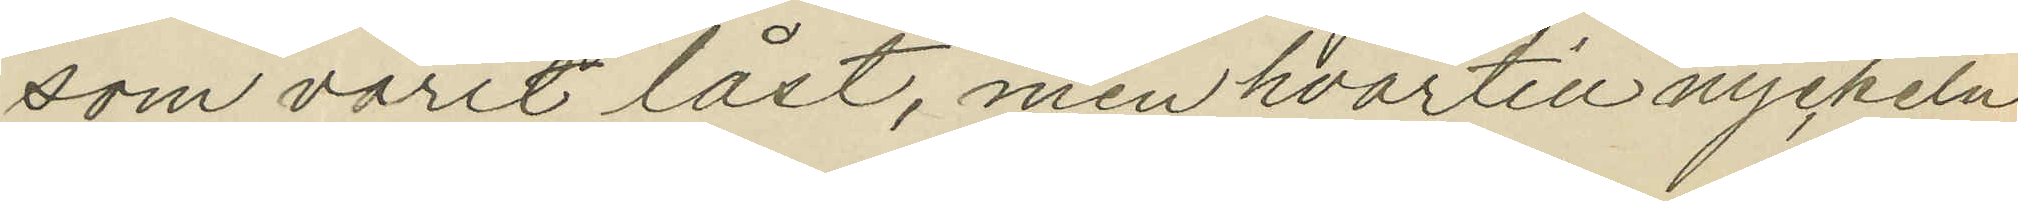som varit låst, men hvartill nyckeln
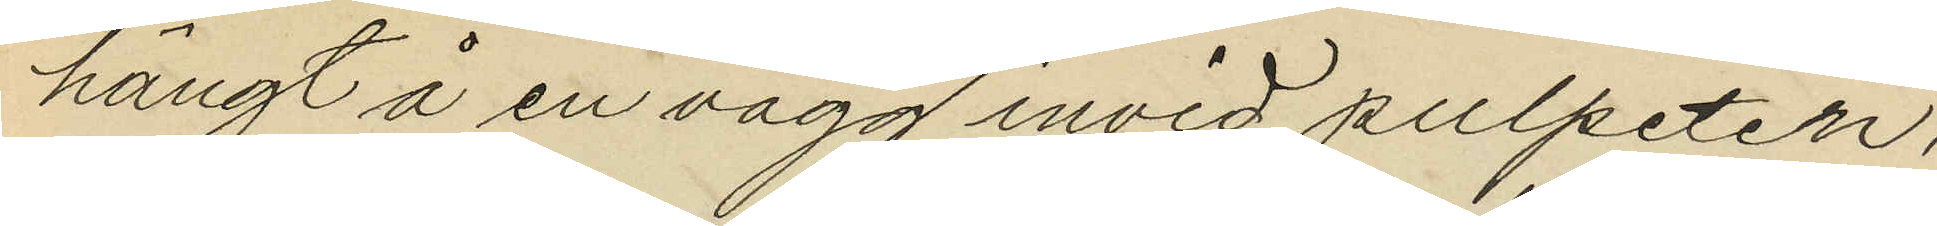hängt å en vägg invid pulpeten,
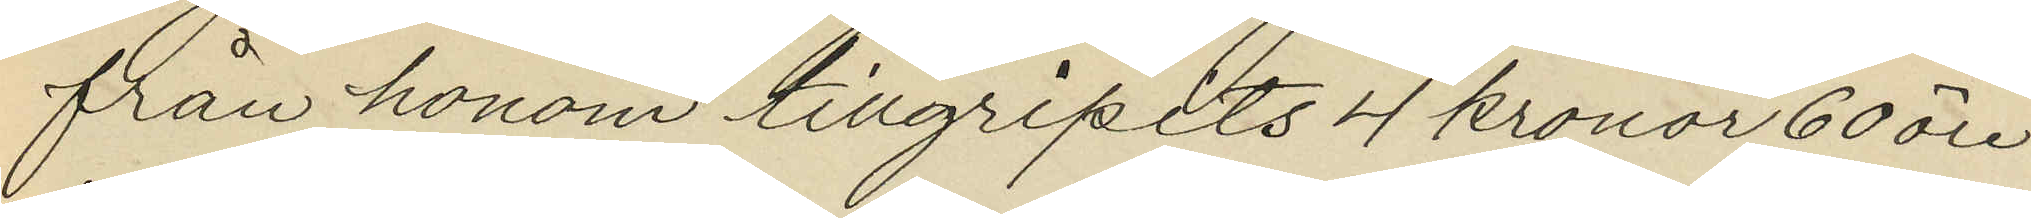från honom tillgripits 4 kronor 60 öre
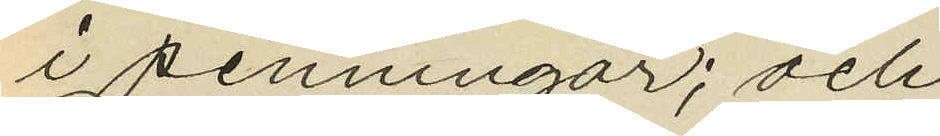i penningar; och
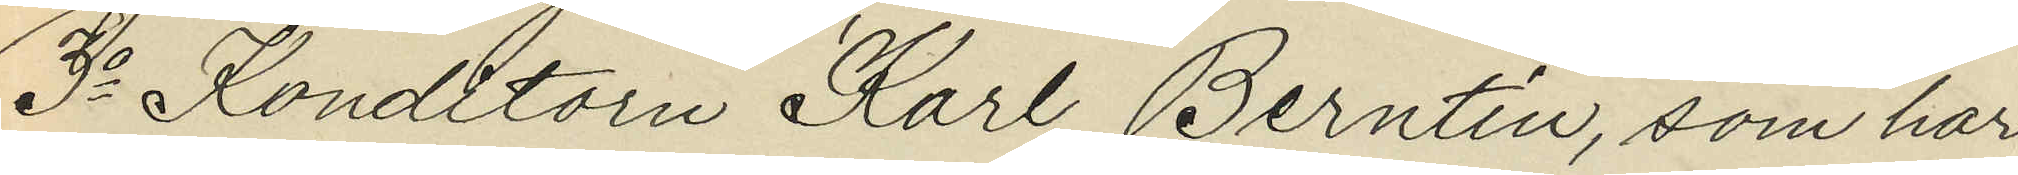3o Konditorn Karl Berntin, som har
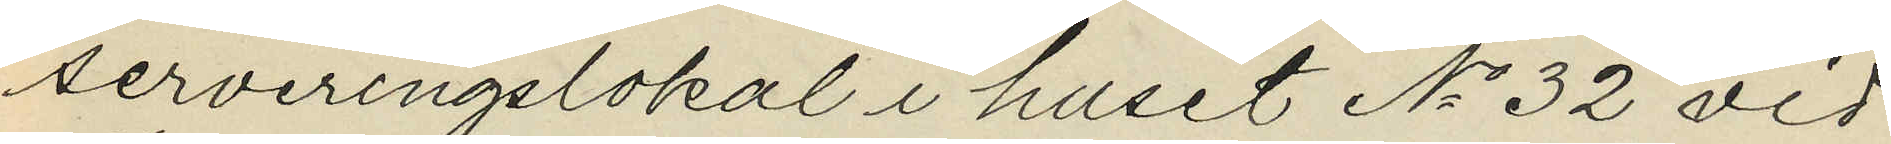serveringslokal i huset No 32 vid
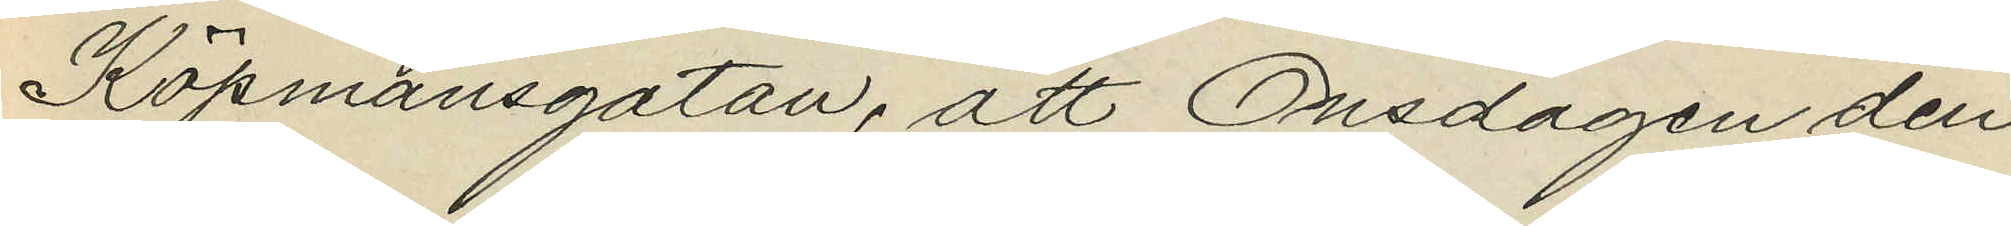Köpmansgatan, att Onsdagen den
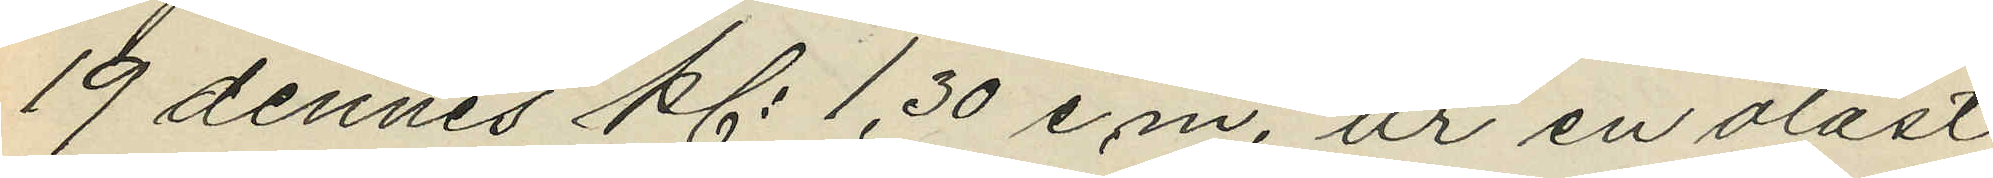19 dennes kl. 1,30 e.m. ur en olåst
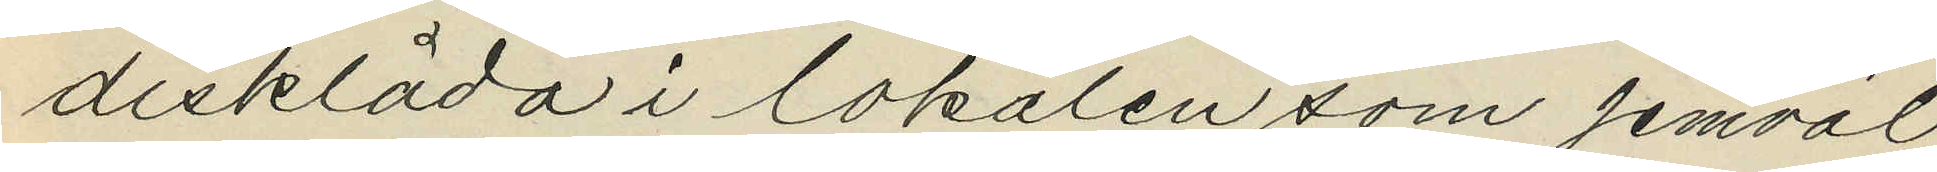disklåda i lokalen som jemväl
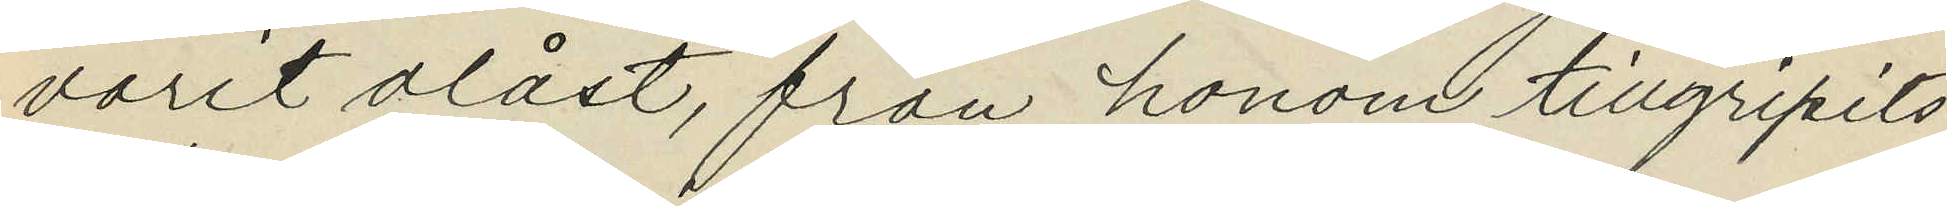varit olåst, från honom tillgripits
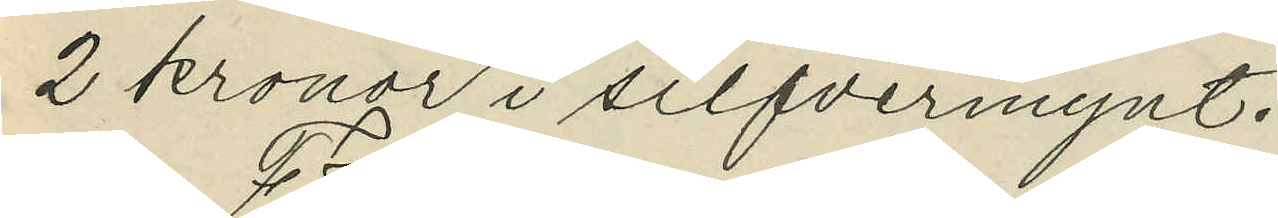2 kronor i silfvermynt.
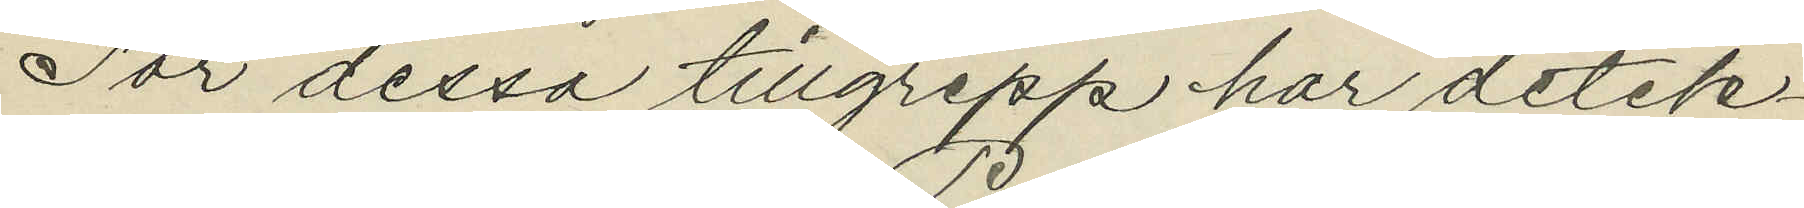För dessa tillgrepp har detek¬
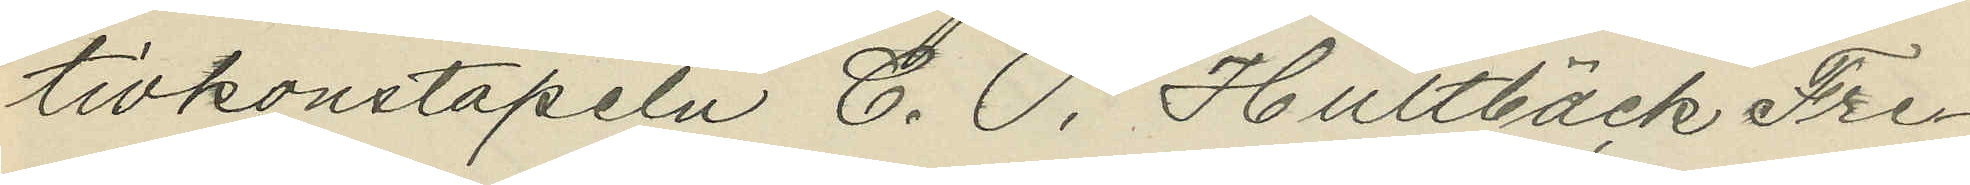tivkonstapeln C. P. Hultbäck Fre¬
